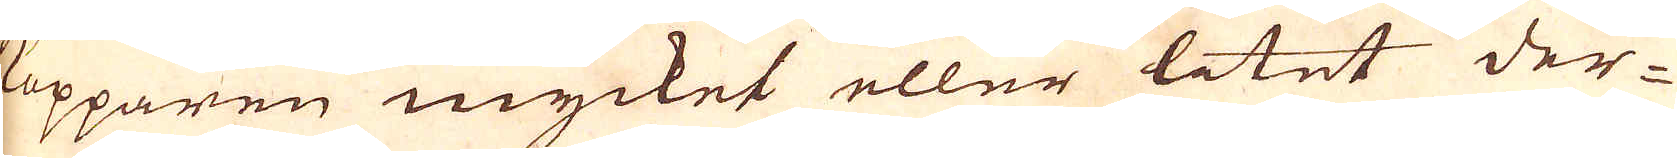kopparen mycket eller litet der-
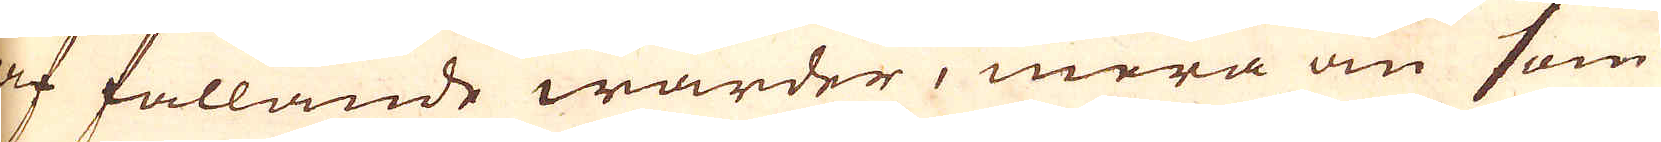af fallande warder, mera än som
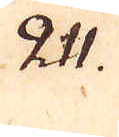211.
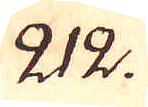212.
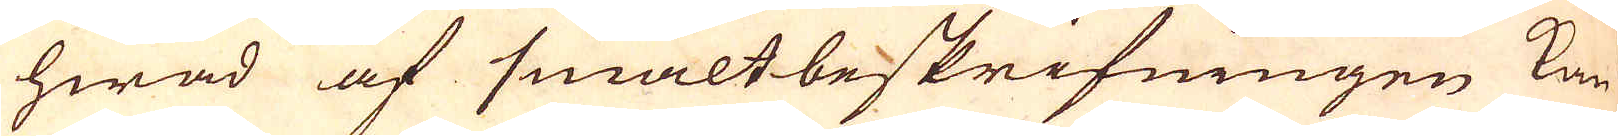hwad af smältbeskrifningen kan
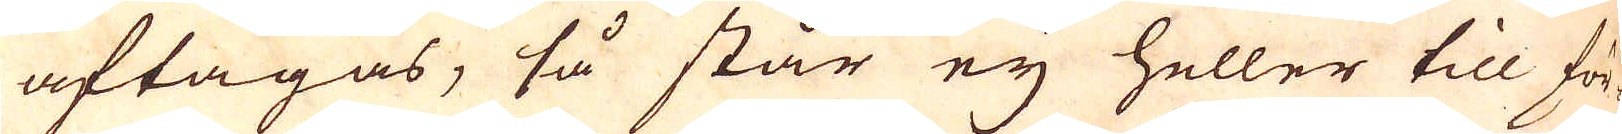aftagas, så står eij heller till för-
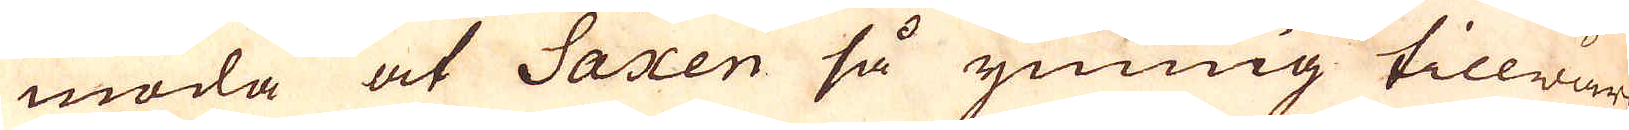moda at Saxen så ymnig tillwärk-
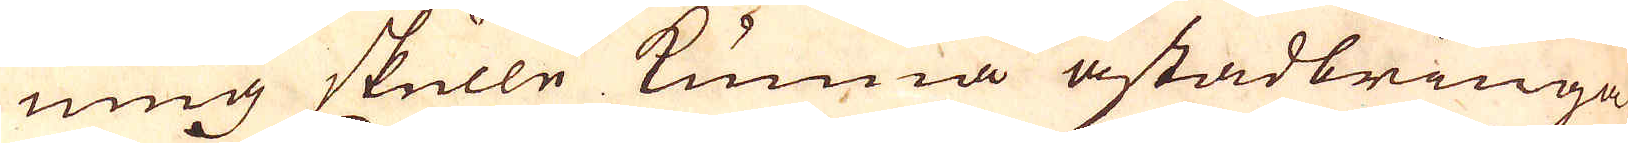ning skulle kunna åstadbringa
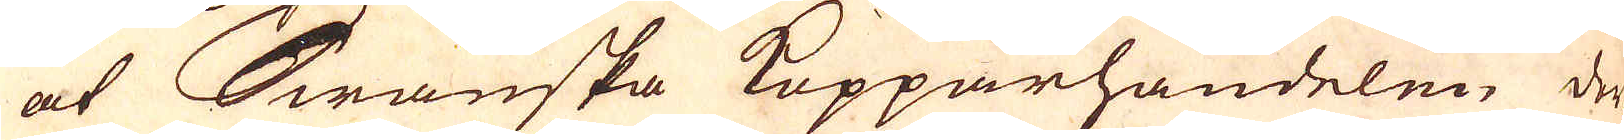at Swänska Kopparhandelen der-
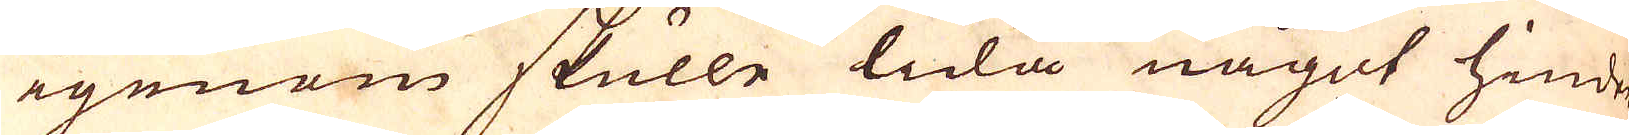igenom skulle lida något hinder
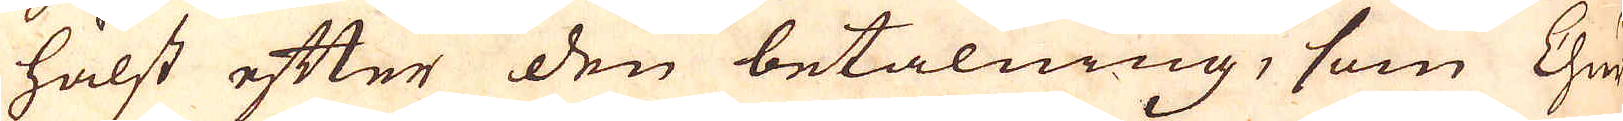hälst efter den betalning, som Chur-
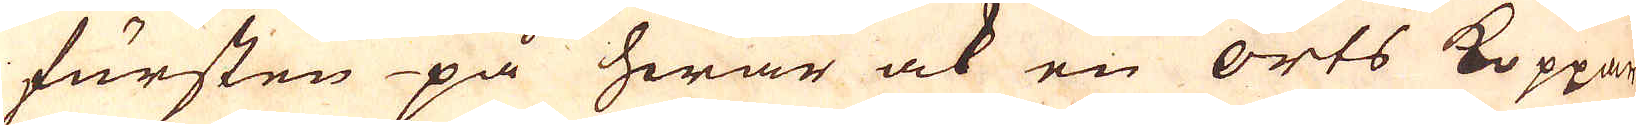fursten på hwar ock en orts Koppar
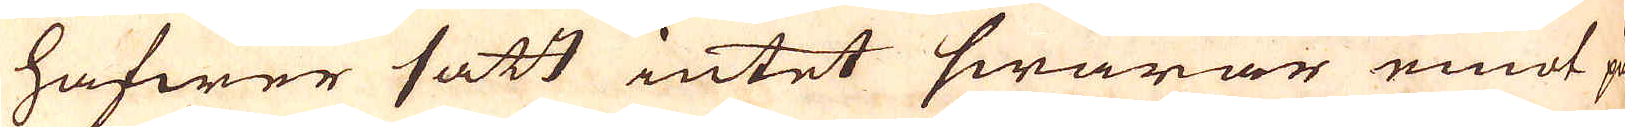hafwer satt intet swarar emot på
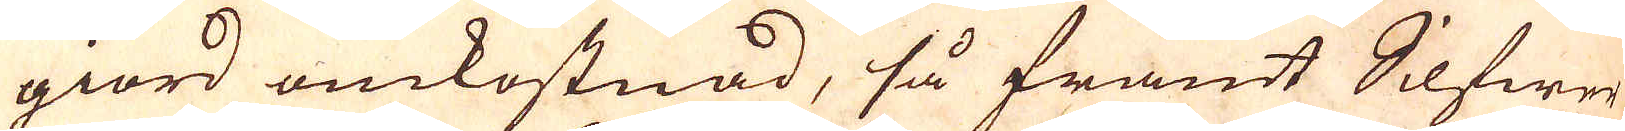giord omkostnad, så framt Silfwer
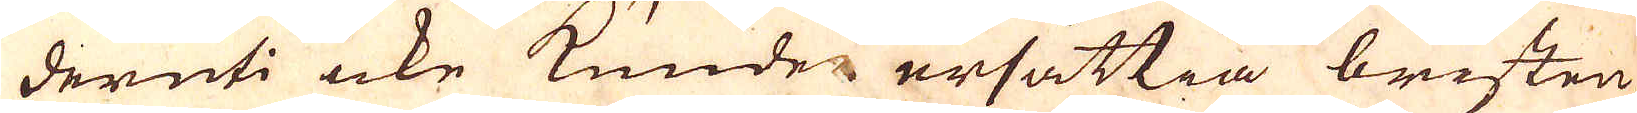deruti icke kunde ersättia bristen
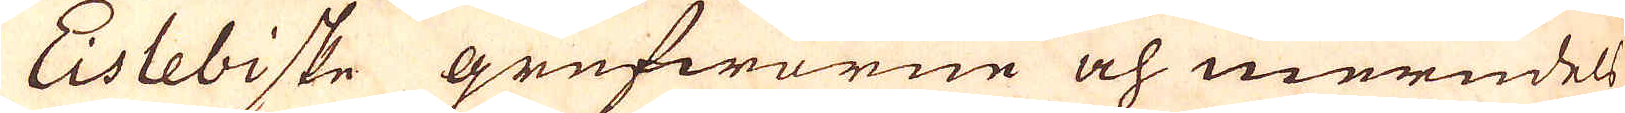Eislebiske grufworne och meredels
